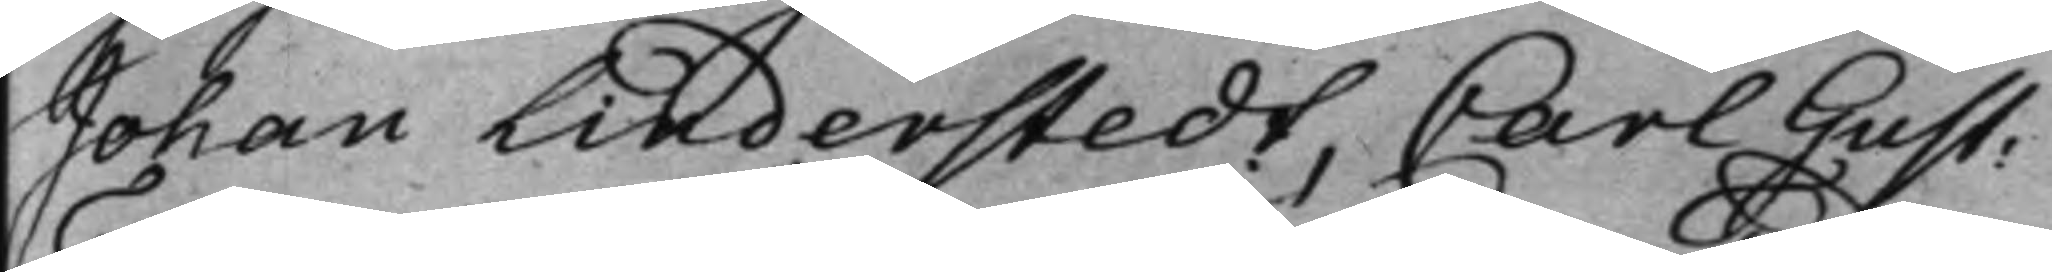Johan Linderstedt, Carl Gust:
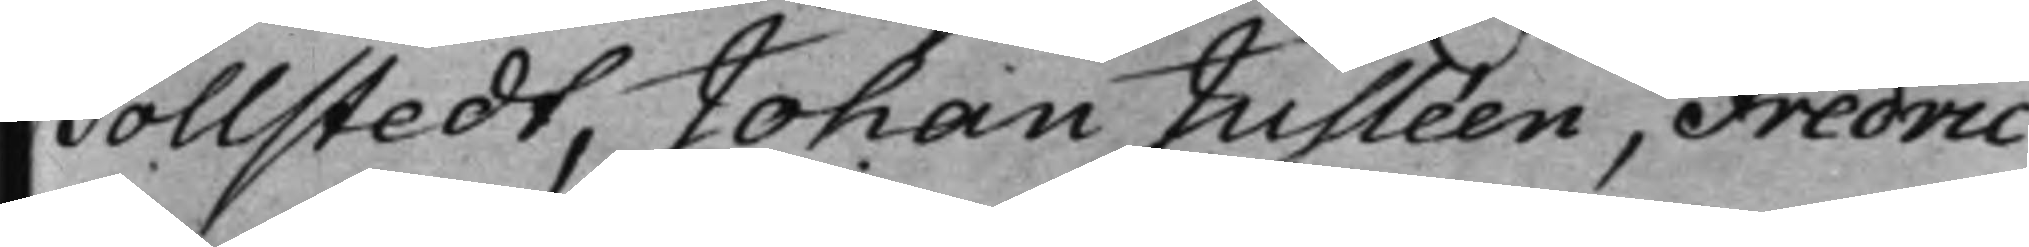Tollstedt, Johan Jusléen, Fredric
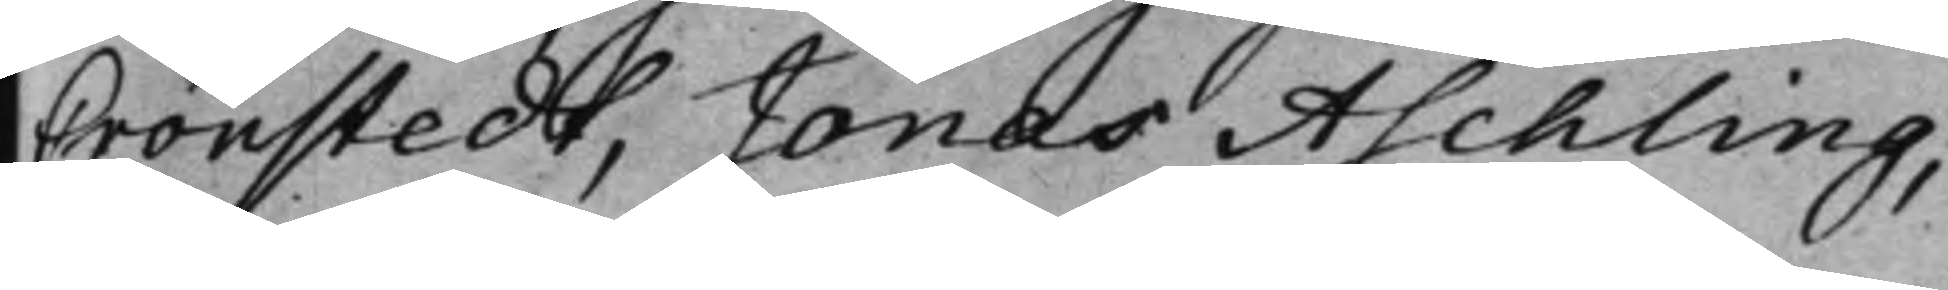Cronstedt, Jonas Aschling,
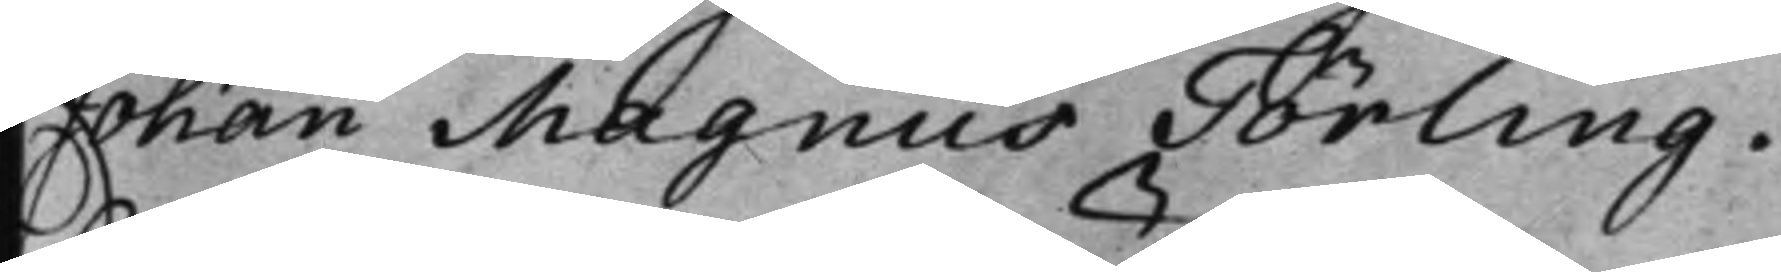Johan Magnus Törling.
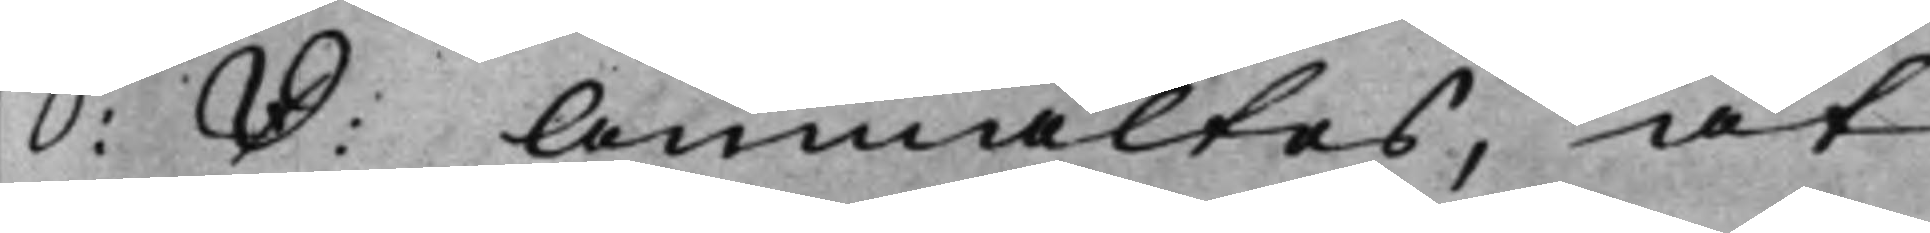S: D: Anmältes, at
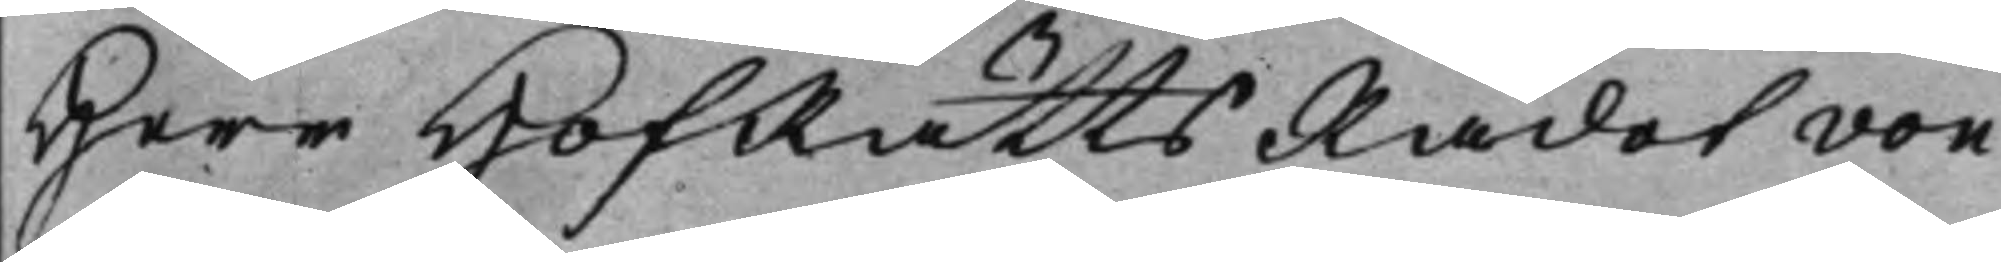Herr HofRättsRådet von
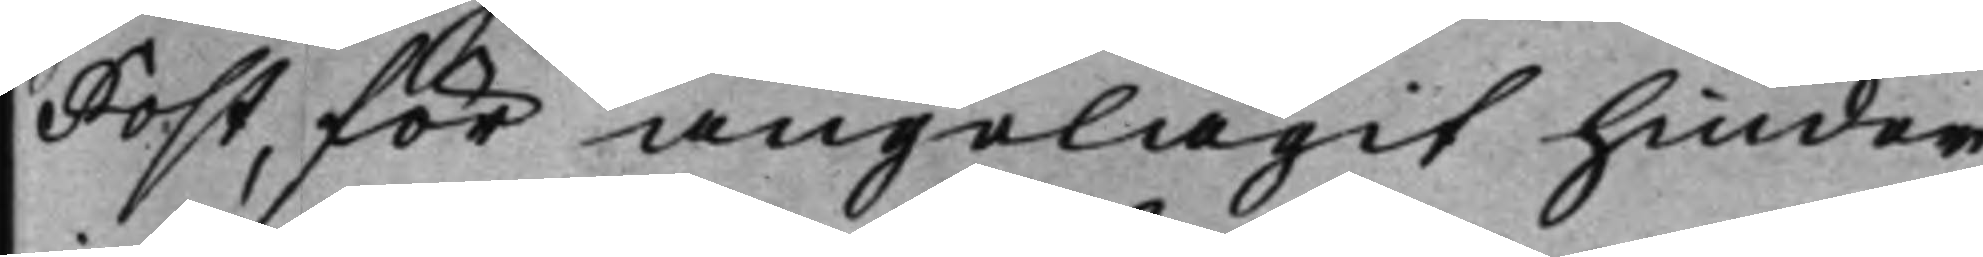Post, för angelägit hinder,
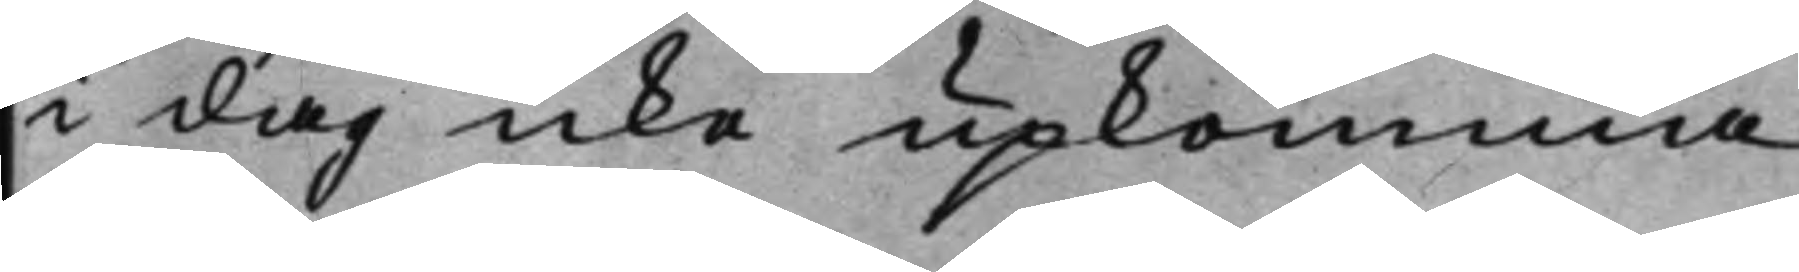i dag icke upkomma
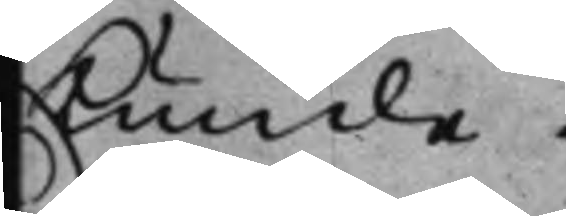kunde.
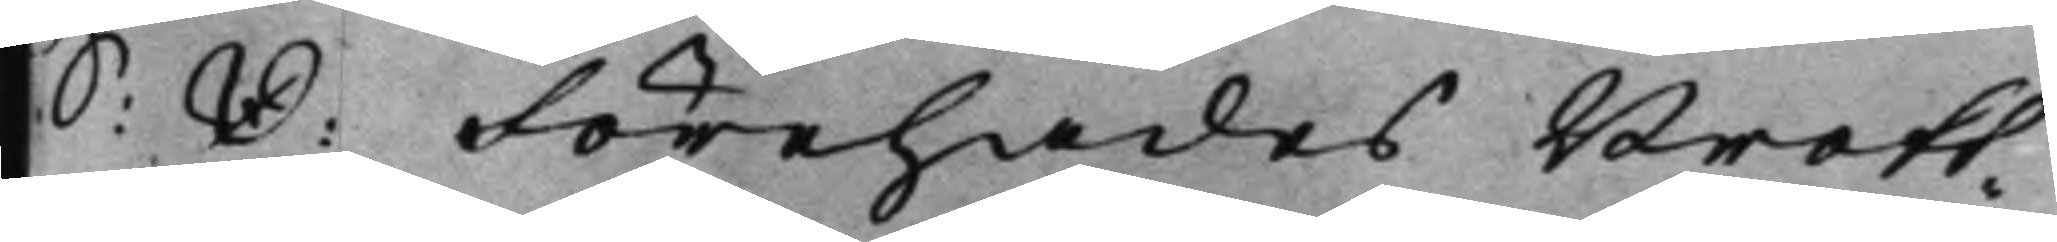S: D: Förehades Brott¬
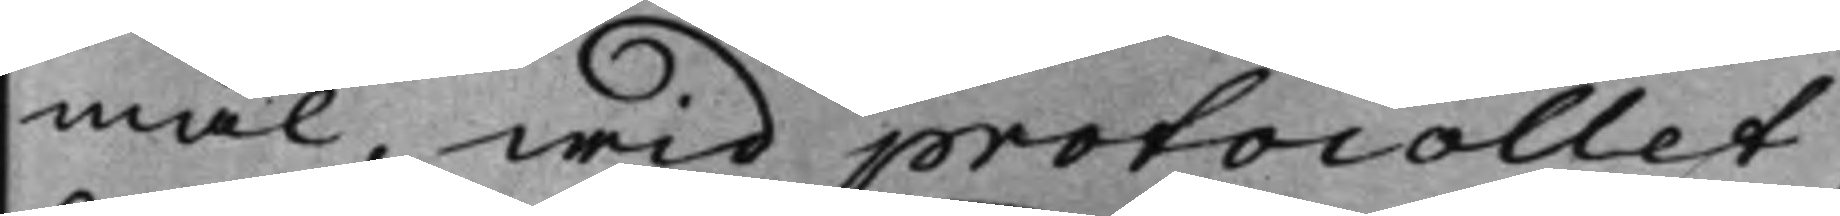mål, wid protocollet,
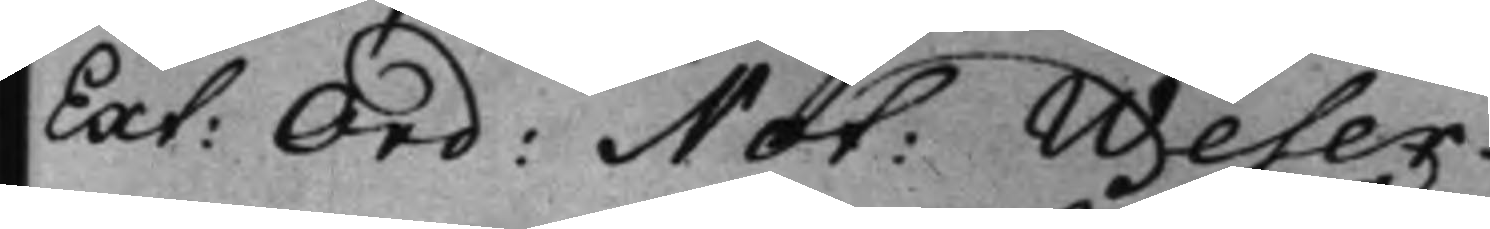Ext: Ord: Not: Weser.
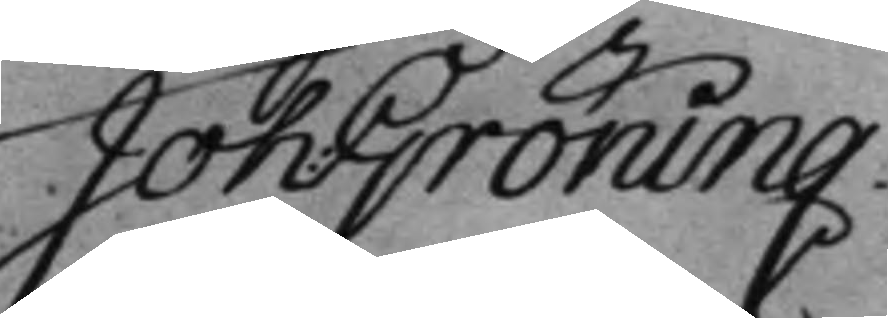Joh: Gröning.
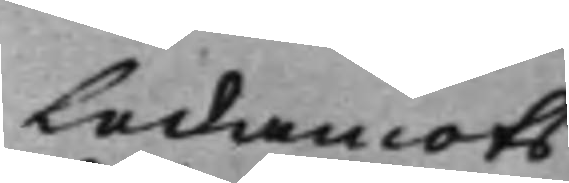Ledamots
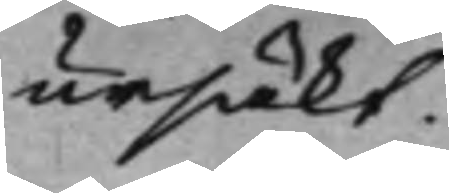ursäkt.
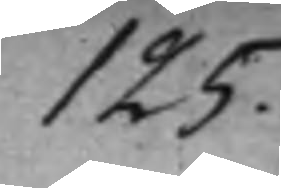125.
